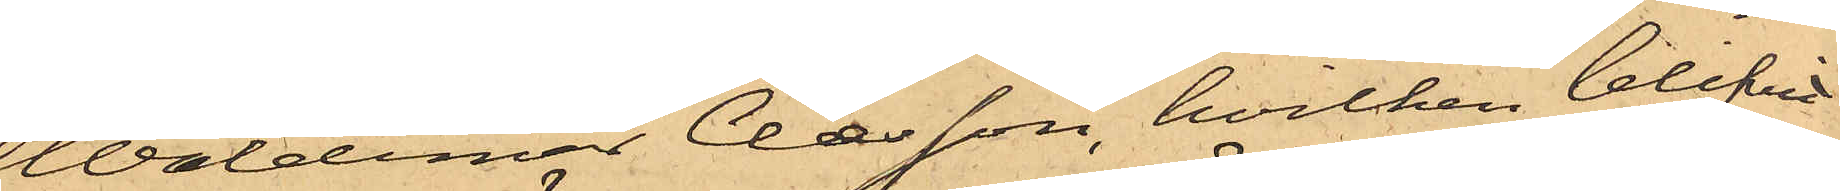Waldemar Clæsson, hvilken blifvit
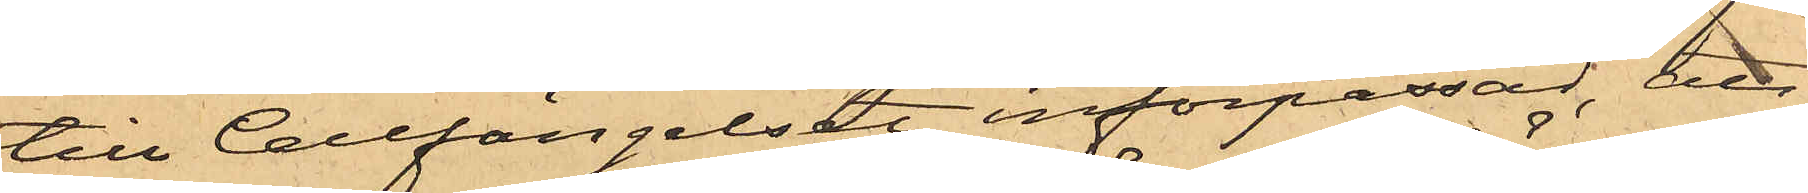till Cellfängelset införpassad, att
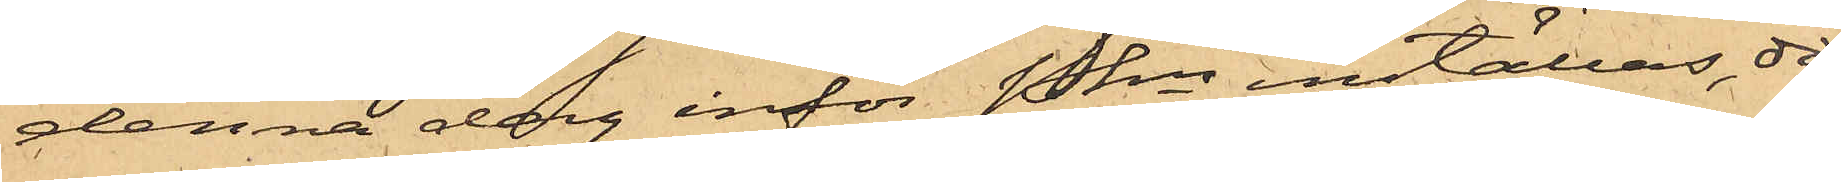denna dag inför Pkn inställas, då
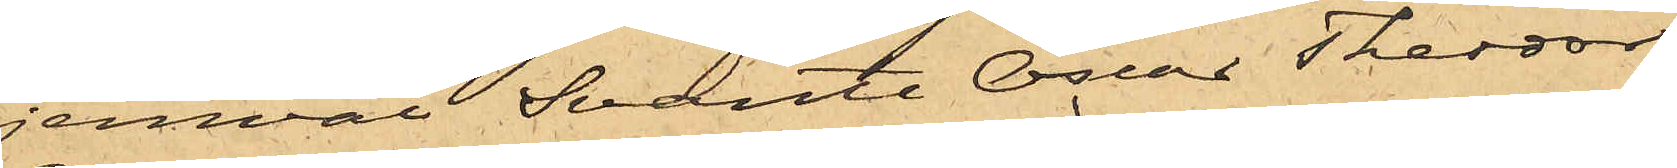jemväl Svante Oscar Theodor
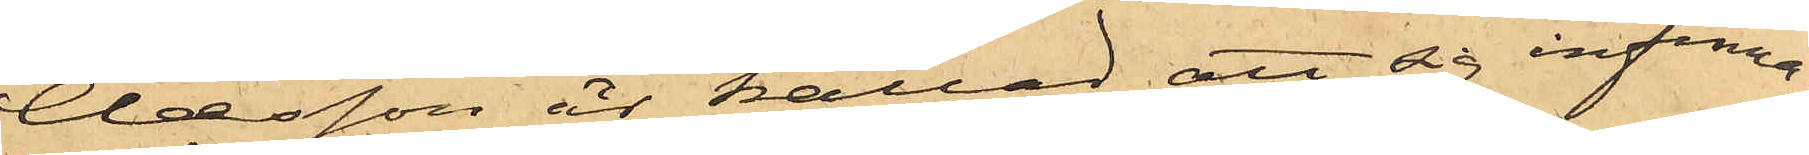Clæsson är kallad att sig infinna.
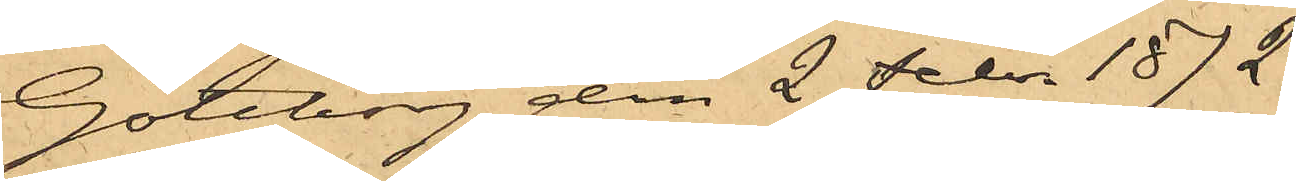Göteborg den 2 Febr. 1872.
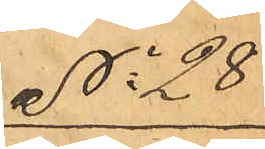No 28
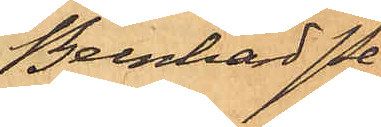Bernhard Pe¬
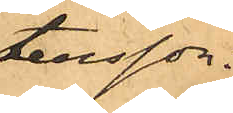tersson.
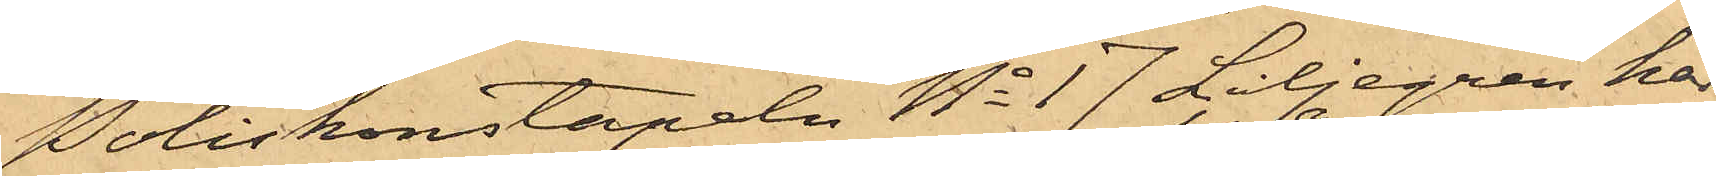Poliskonstapeln No 17 Liljegren har
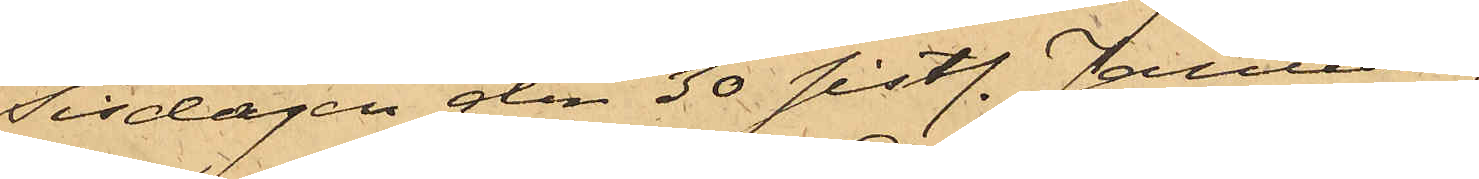Tisdagen den 30 sistl. Januari
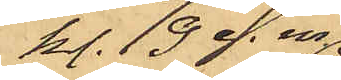kl. 9 e. m.
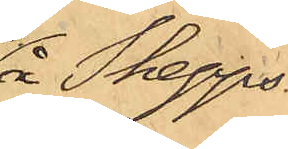å Skepps¬
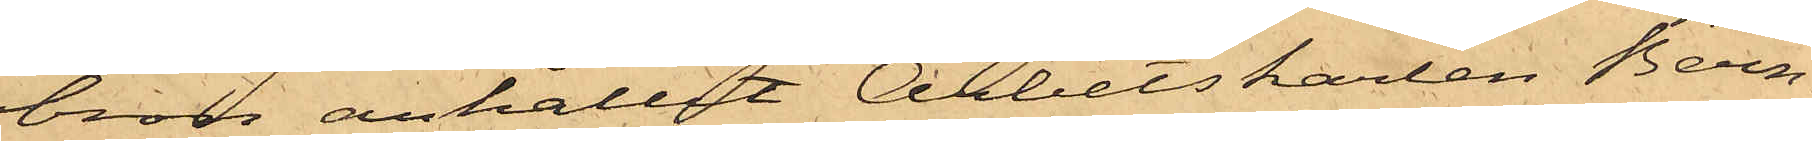bron anhållit Arbetskarlen Bern¬
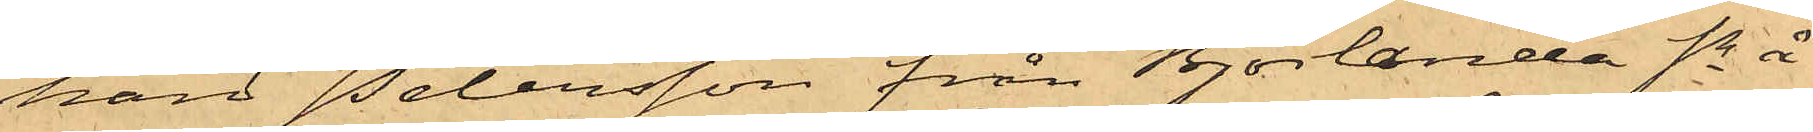hard Petersson från Björlanda Sn å
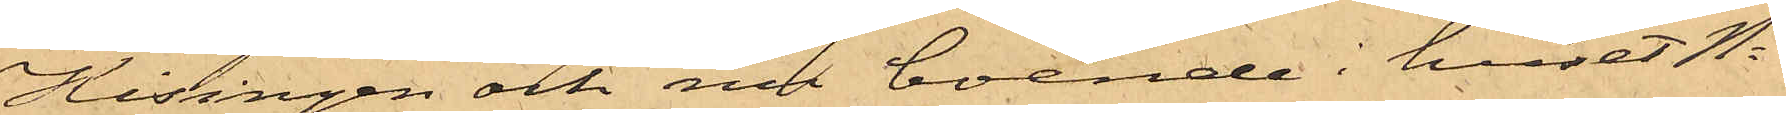Hisingen och nu boende i huset No
